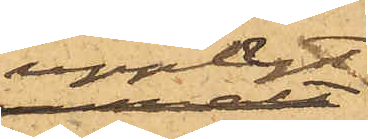upplyst:
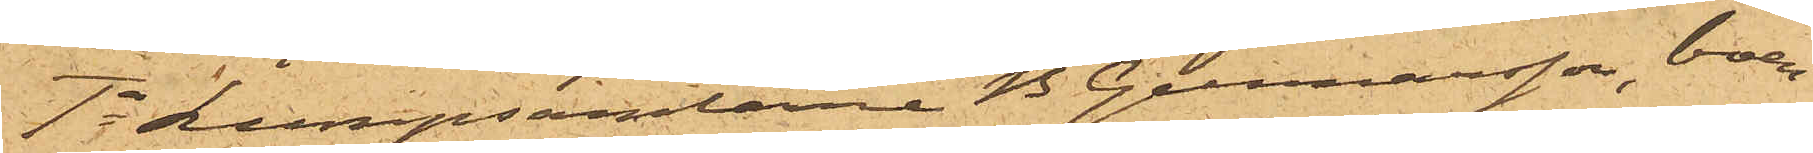1o Lumpsamlarne B Gunnarsson, boen¬
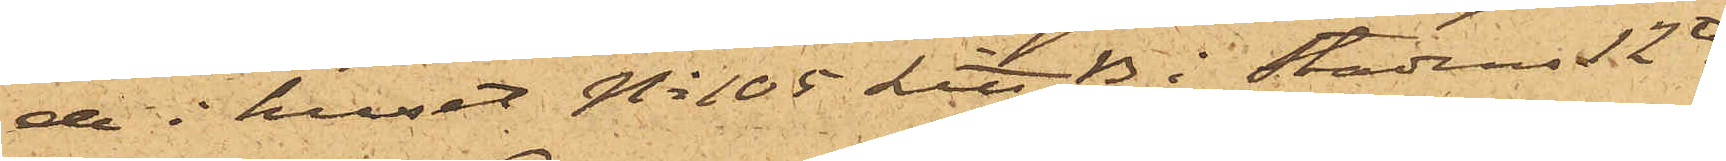de i huset No 105 Litt B i Stadens 12te
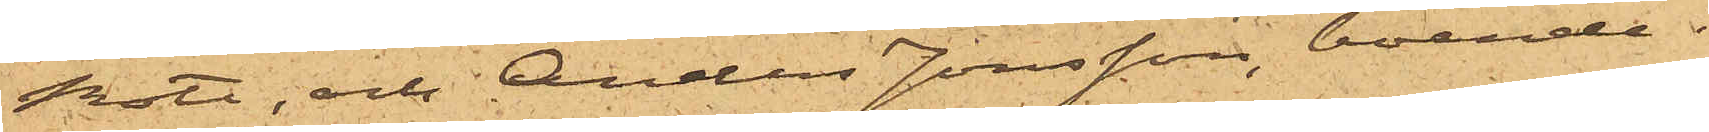Rote, och Anders Jonsson, boende i
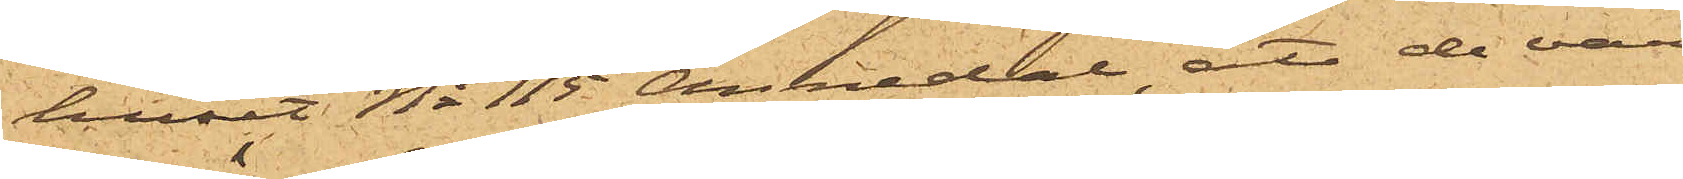huset No 115 Annedal, att de varit
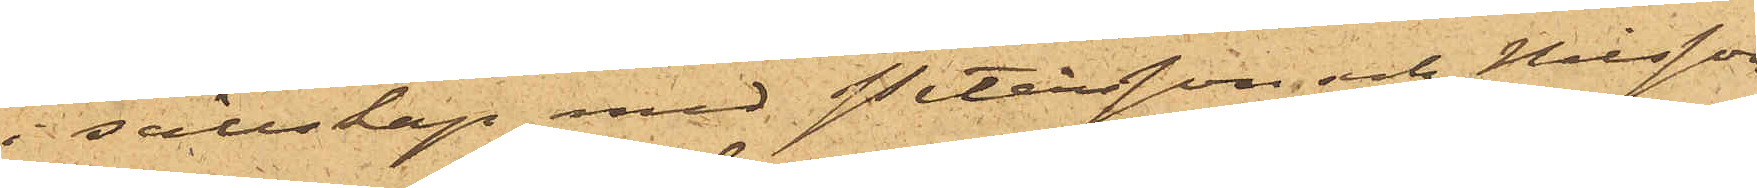i sällskap med Petersson och Nilsson
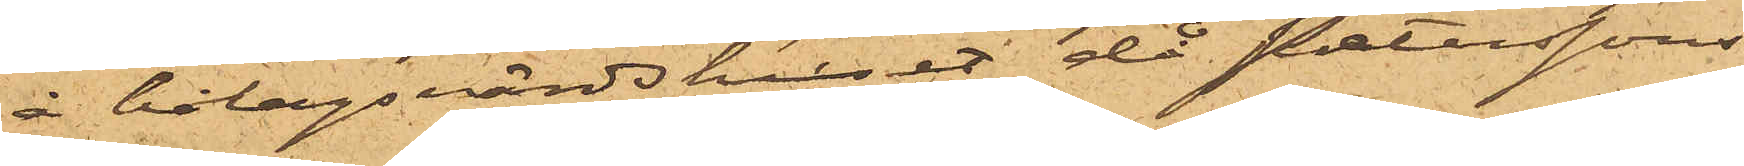å bolagsvärdshuset då Peterssons
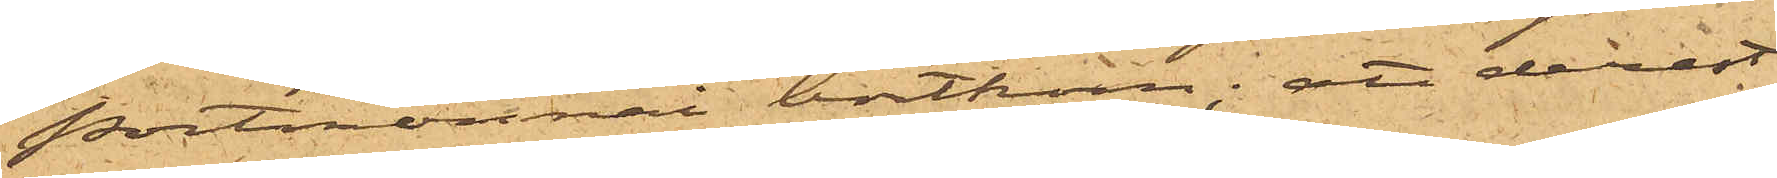portmonnai bortkom; att derest
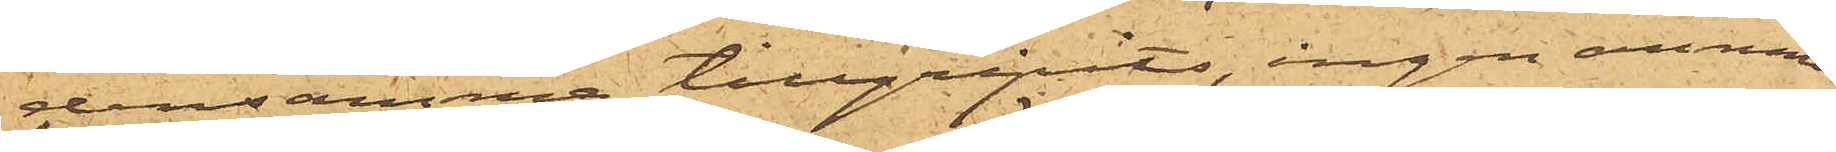densamma tillgripits, ingen annan
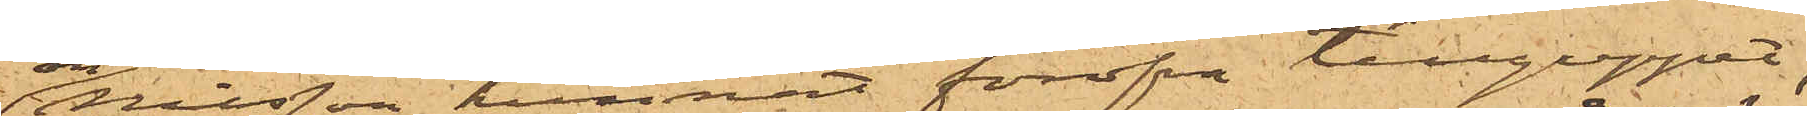än Nilsson hunnat föröfva tillgreppet;
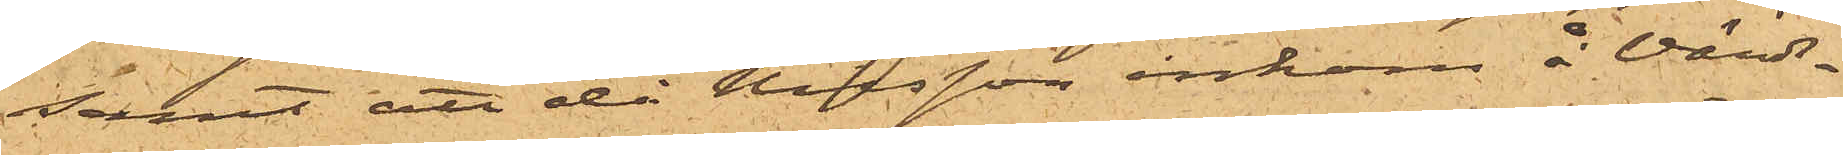samt att då Nisson inkom å Värds¬
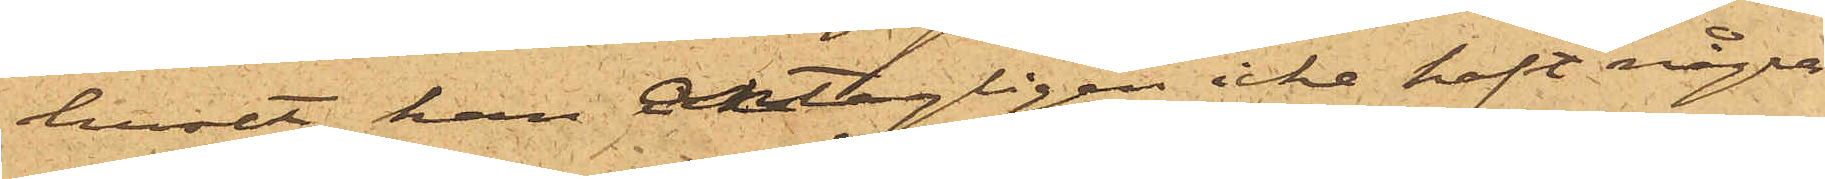huset, han antagligen icke haft några
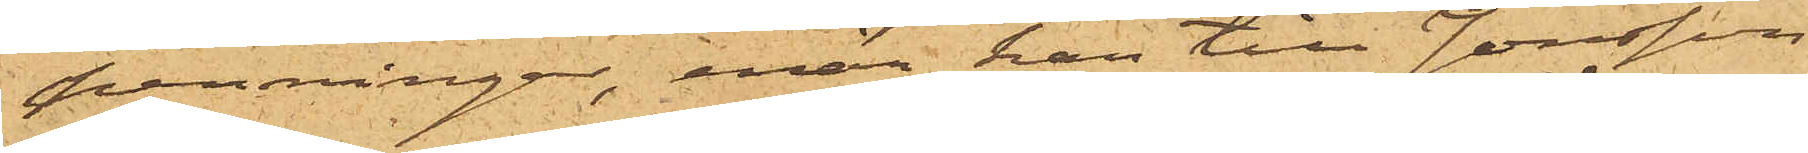penningar, enär han till Jonsson
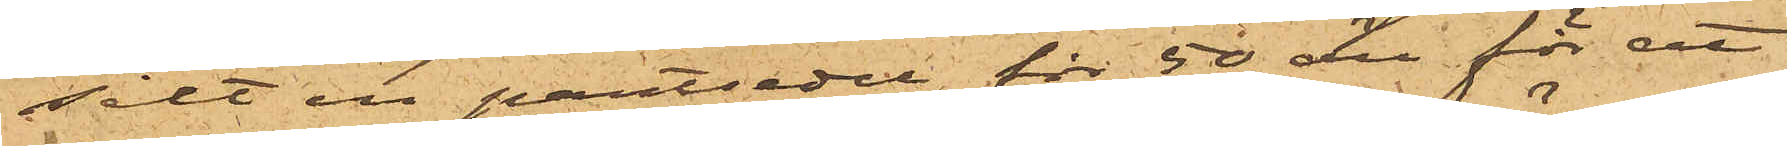sålt en pantsedel för 50 öre för att
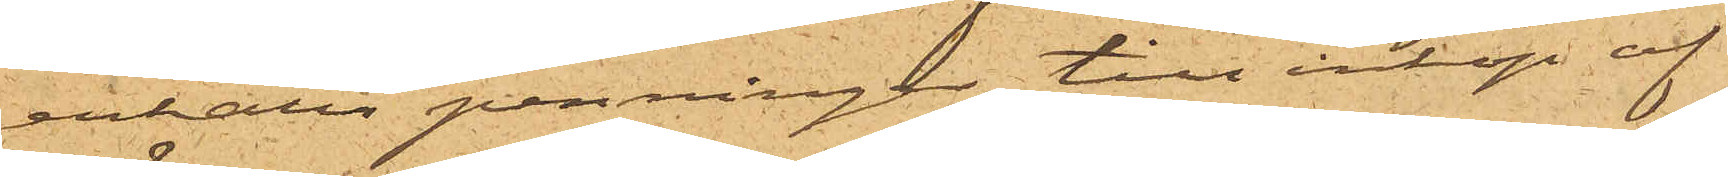erhålla penningar till inköp af
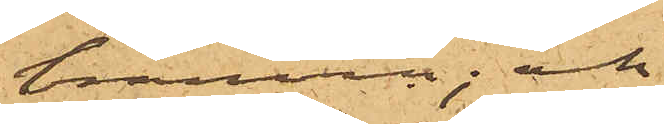bränvn; och
